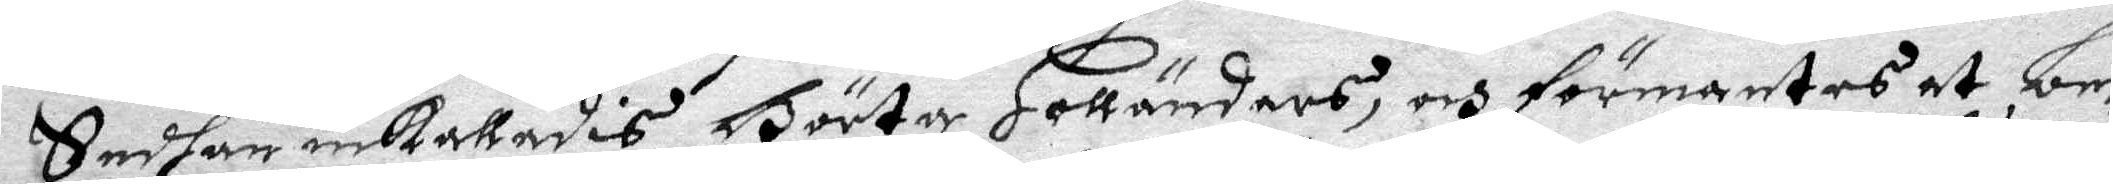Sedhan inkallades Börta Holländars, och förmantes at be¬
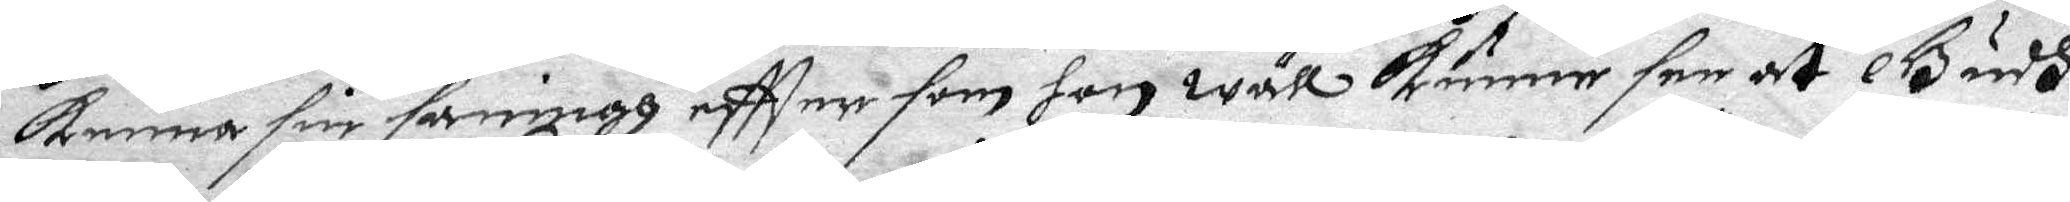kenna sin sanningh eftter som hon wäll kunne see at Gudh
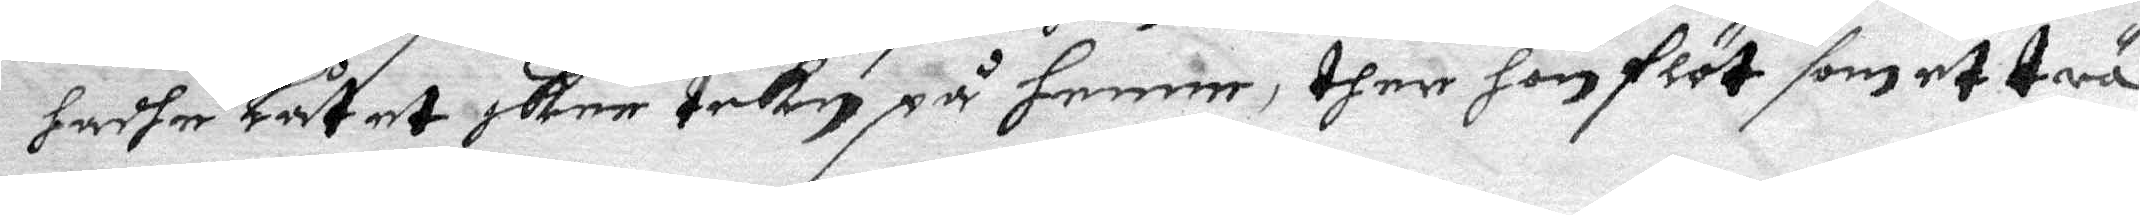hadhe Låtet skee tekn på henne, ther hon flöt som et trä
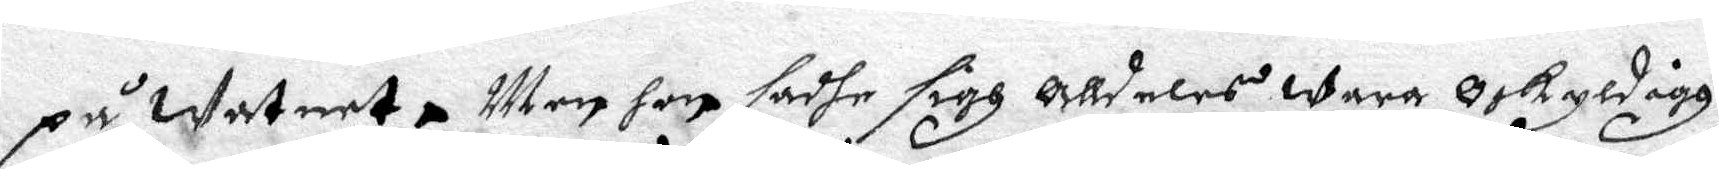på watnet, Men hon sadhe sigh alldeles wara Oskyldigh.
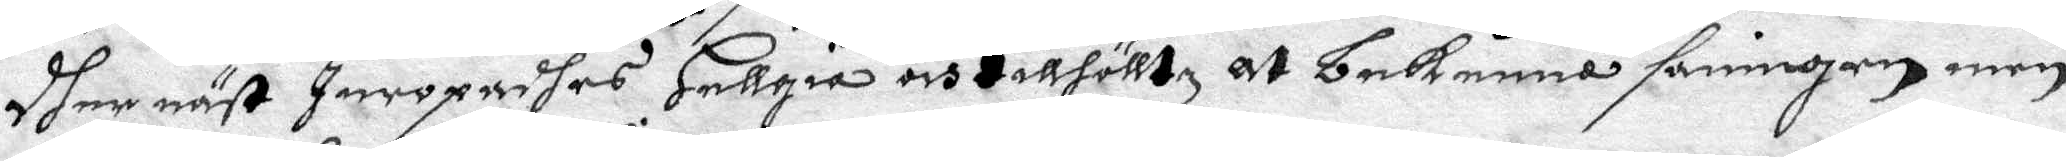Dher näst Inropadhes Hellgia och tillhölltz at bekenna sanningen men
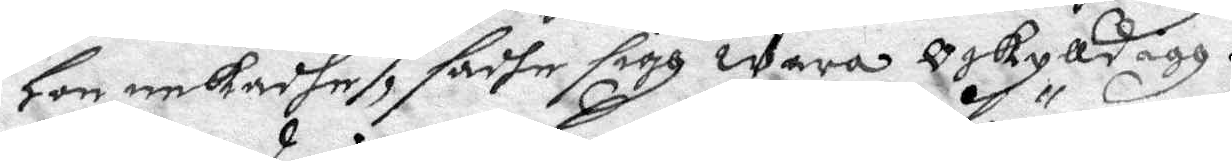Hon nekadhe, sadhe sigh wara oskylldigh.
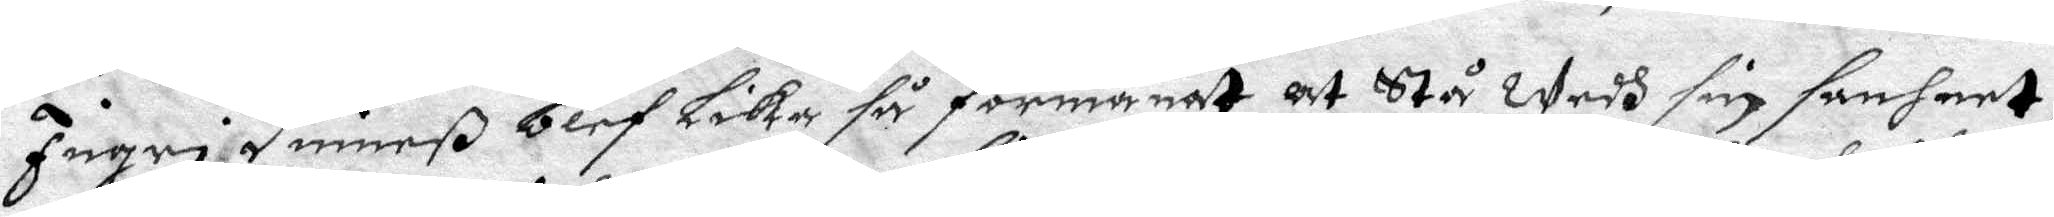Ingri Dimeß blef Lika så förmanat at Stå wedh sin sanheet,
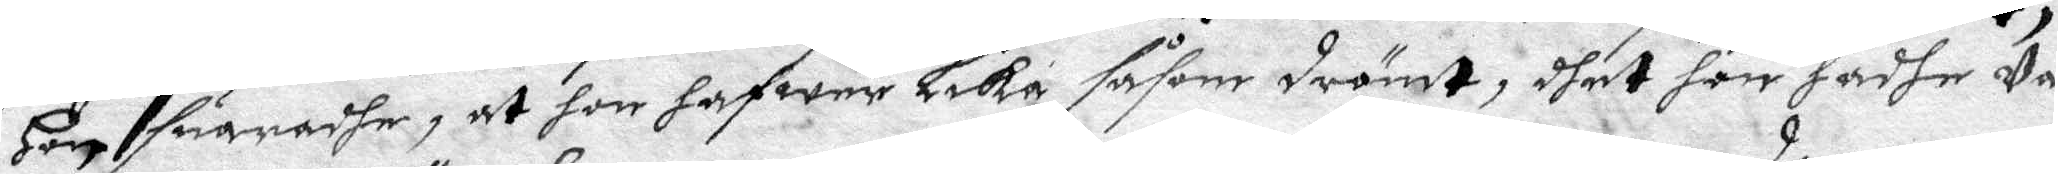Hon suaradhe, at hon hafwer Lika såsom drömt, dhet hon hadhe Va¬
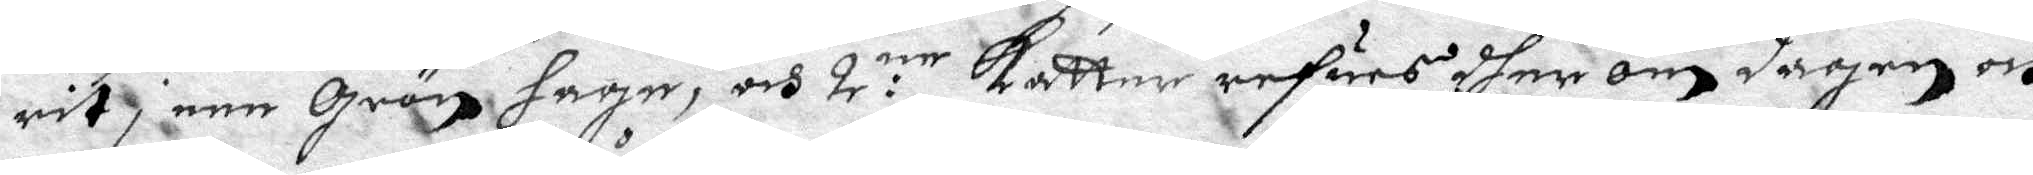rit, i een Grön hage, och 2:ne Katter refuers dher om Dagen och
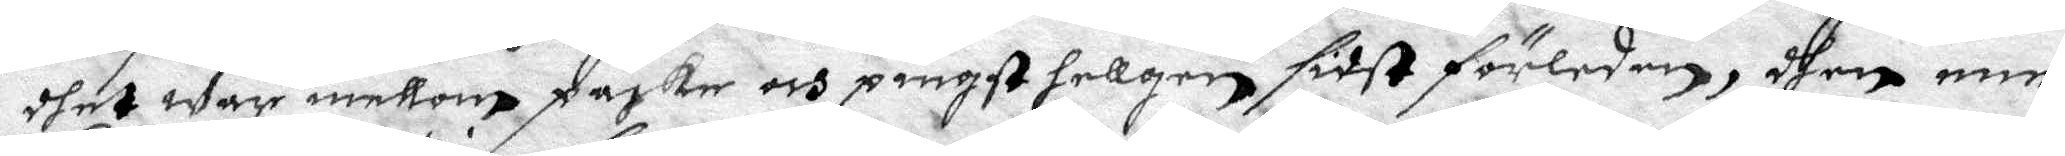dhet war mellom påske och pingst hellgen, sidst förlenen, then ene
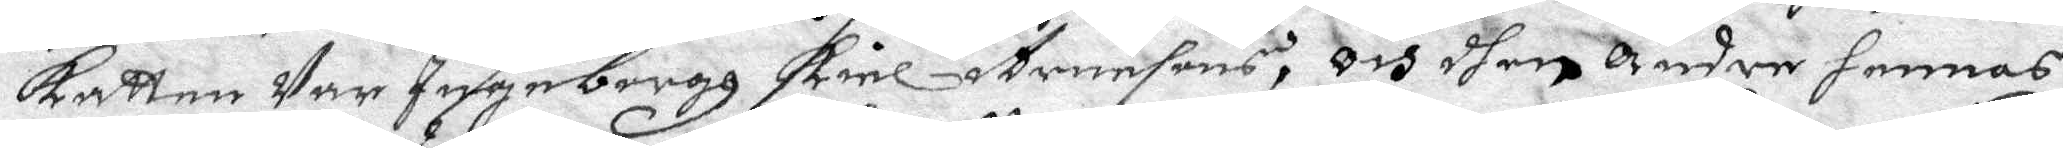Katten Var Ingeborgh Kiel Arensons, Och dhen Andre hennes
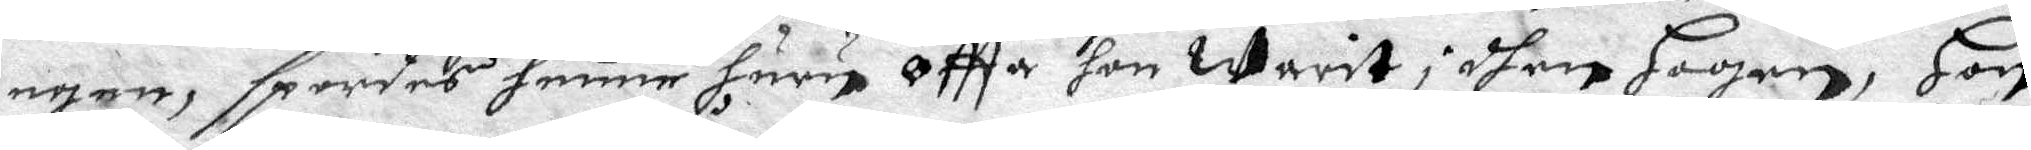egen, spordes henne huru Oftta hon warit i dhen Hagen, Hon
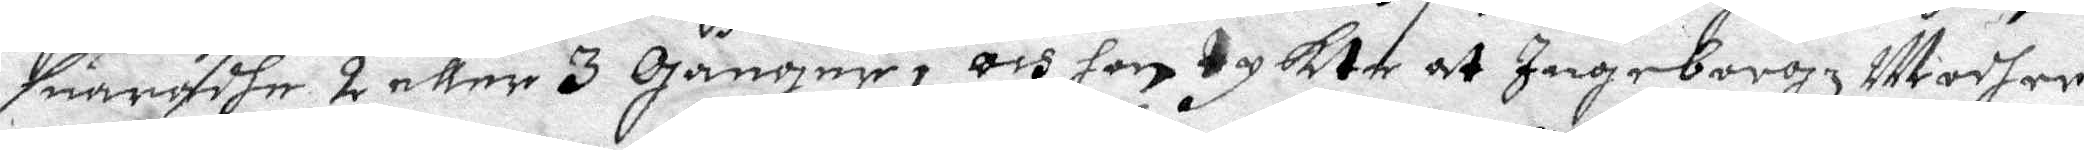suaradhe 2 eller 3 Gånger, och hon tykte at Ingeborgz Modher
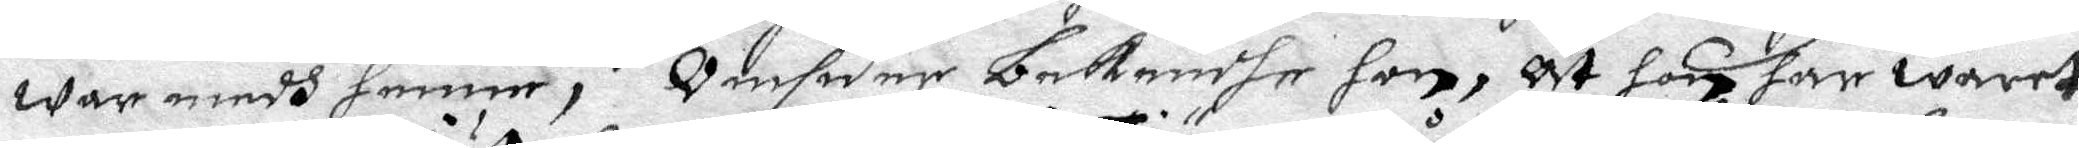war medh henne, Omsider bekendhe hon, At hon har waret
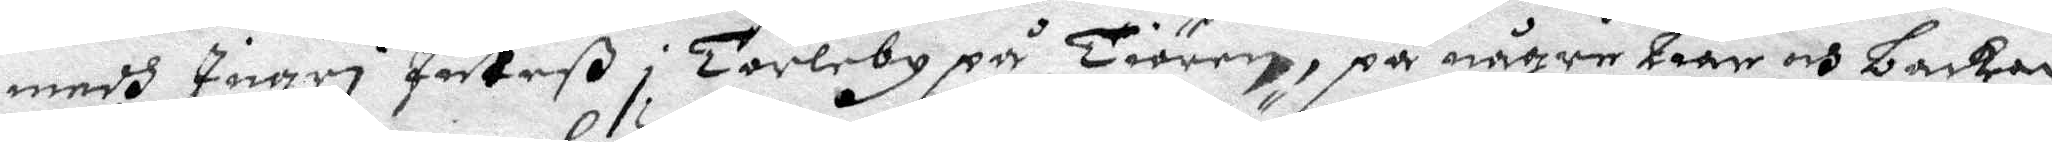medh Ingri Juteß i Torleby på Tiörn, på någre Liar och backar
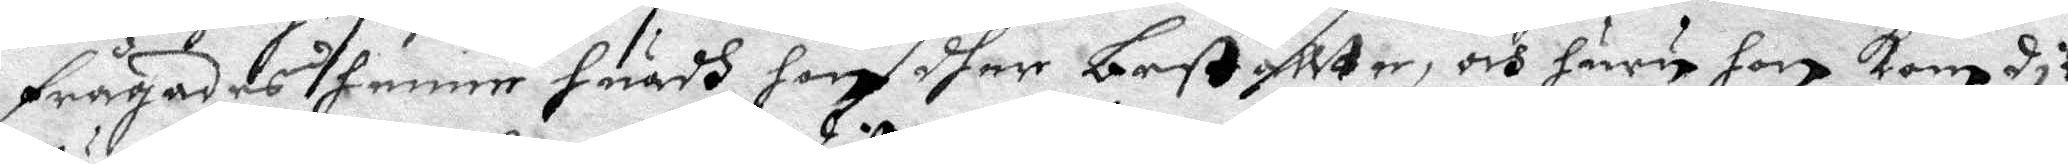frågadhes henne huadh hon dher beställte, och huru hon kom dit,
